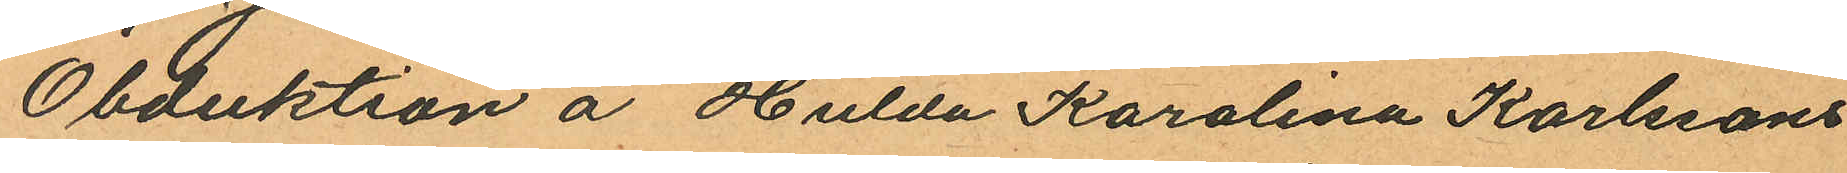Obduktion å Hulda Karolina Karlssons
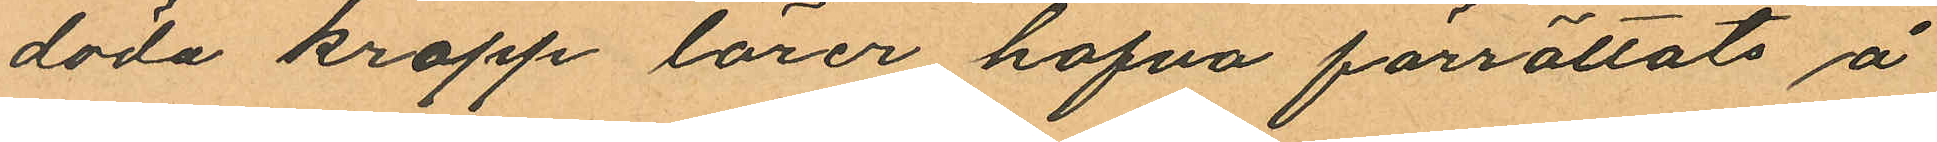döda kropp lärer hafva förrättats å
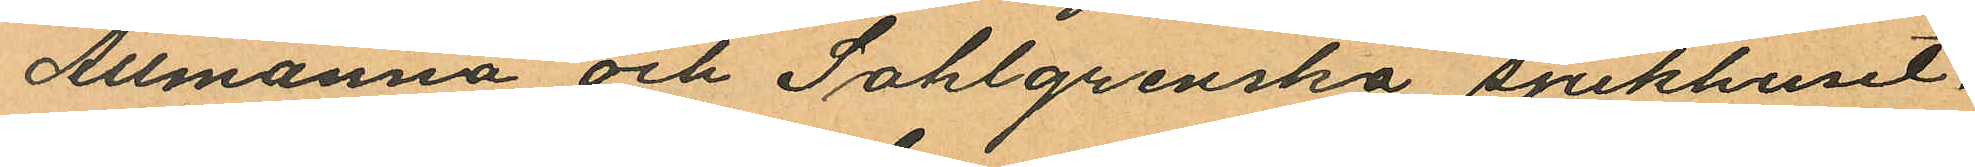Allmanna och Sahlgrenska sjukhuset.
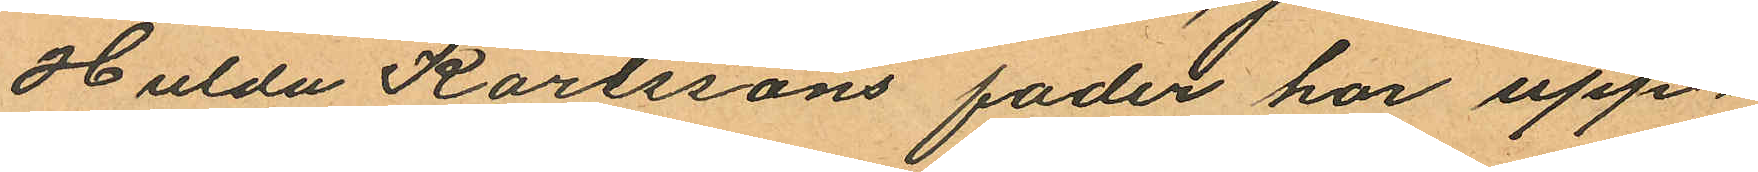Hulda Karlssons fader har upp¬
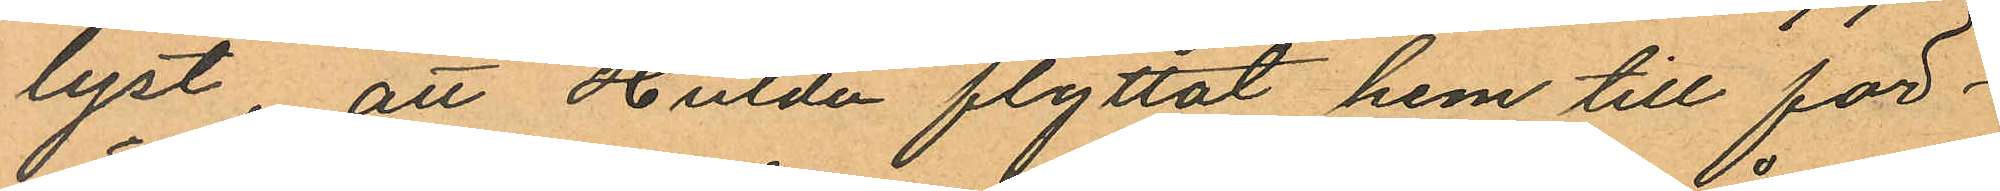lyst, att Hulda flyttat hem till för¬
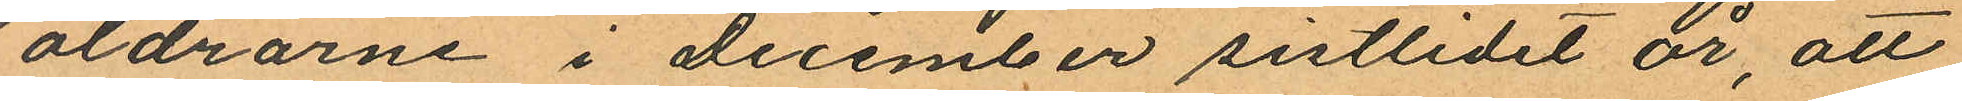äldrarne i december sistlidet år, att
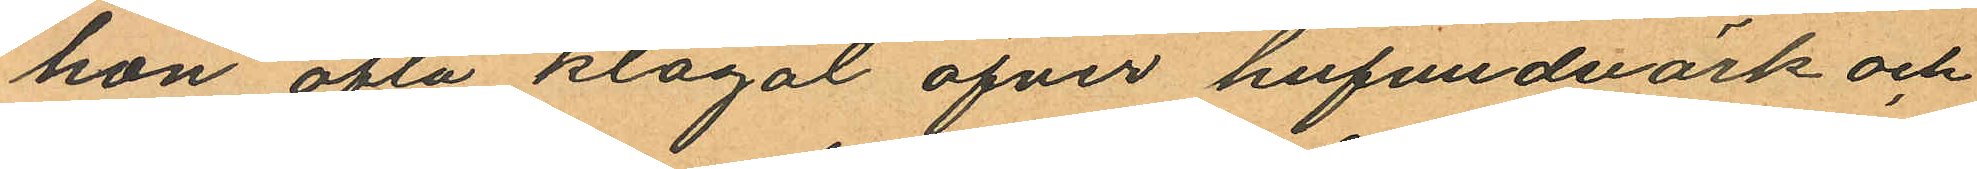hon ofta klagat öfver hufvudvärk och
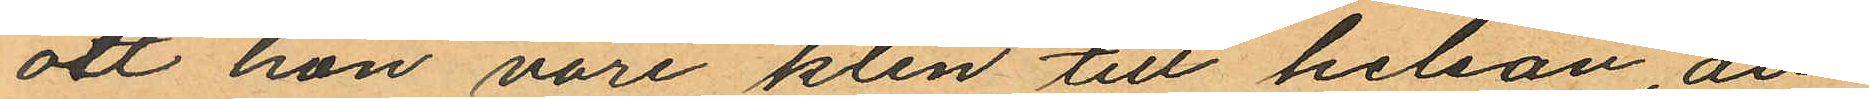att hon vore klen till helsan, att
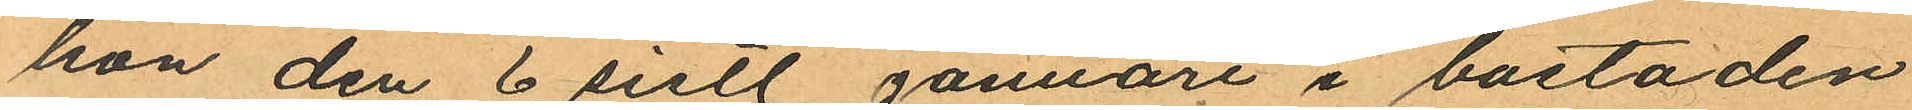han den 6 sistl. Januari i bostaden
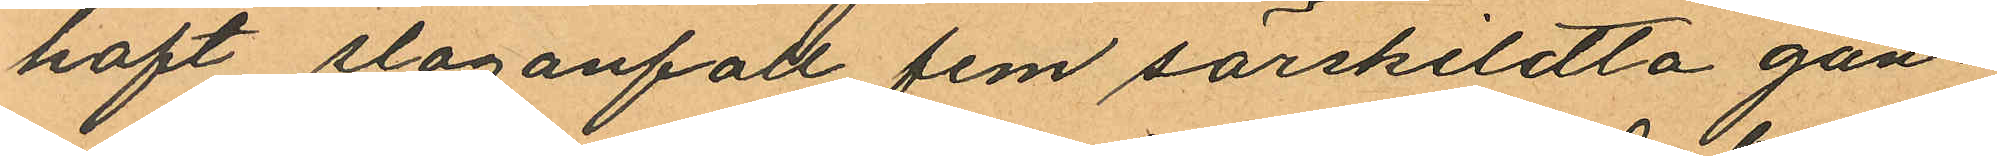haft slaganfall fem särskildta gån¬
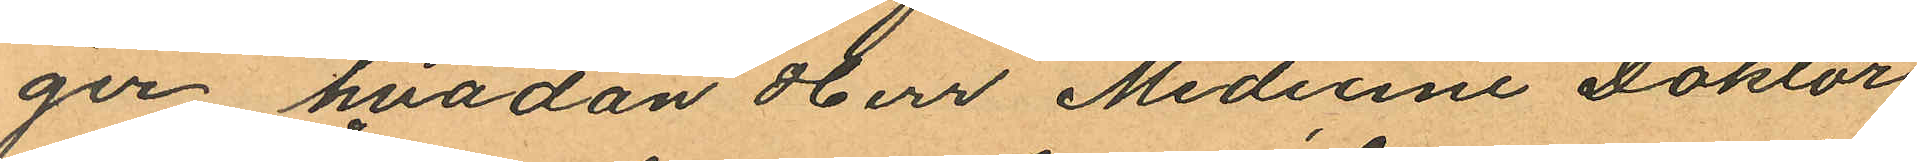ger hvadan Herr Medicine Doktor
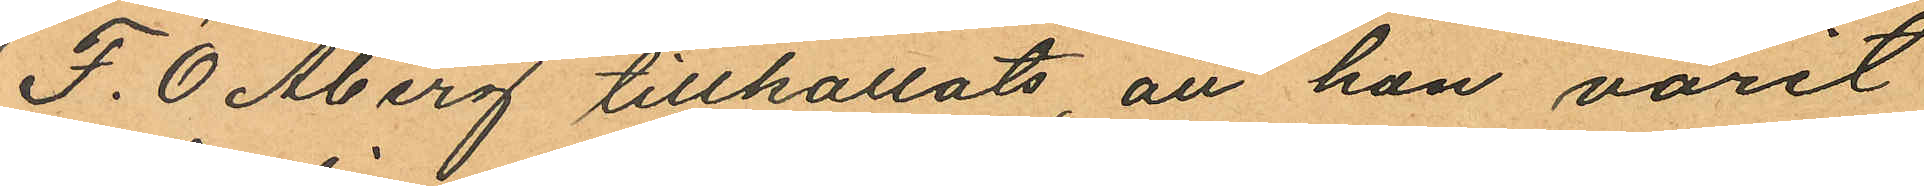F. O. Åberg tillkallats, att hon varit
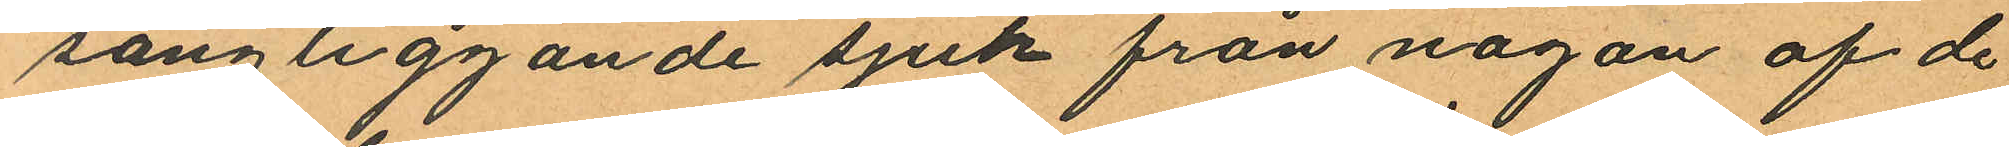sängliggande sjuk från någon af de
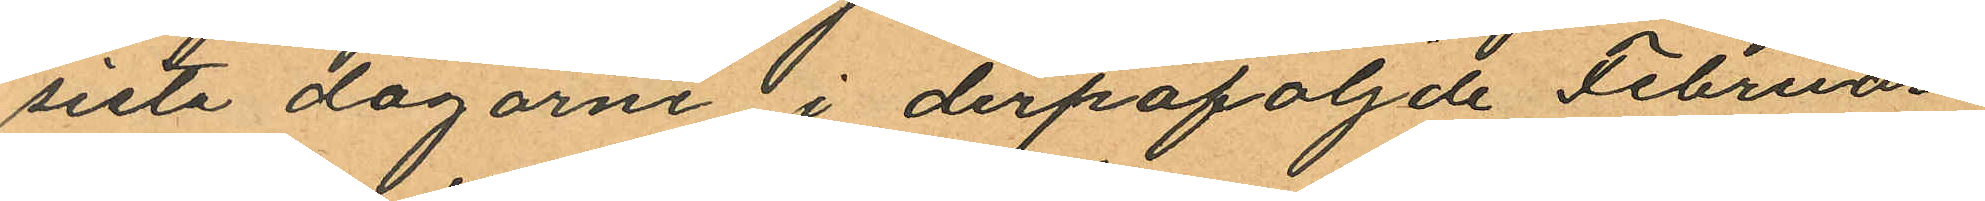siste dagarne i derpåföljande Februari
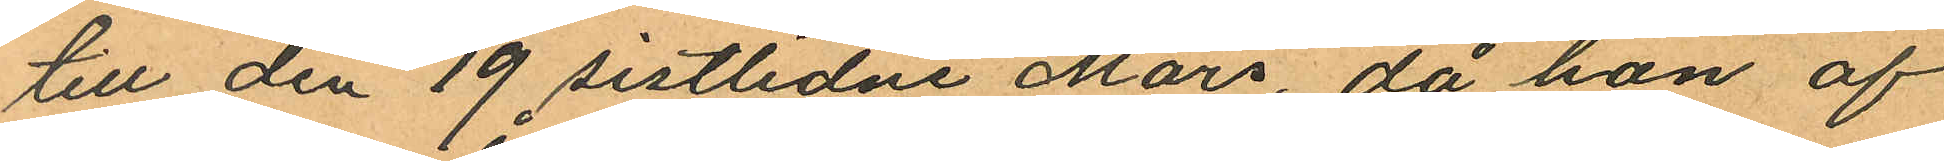till den 19 sistlidne Mars, då hon af
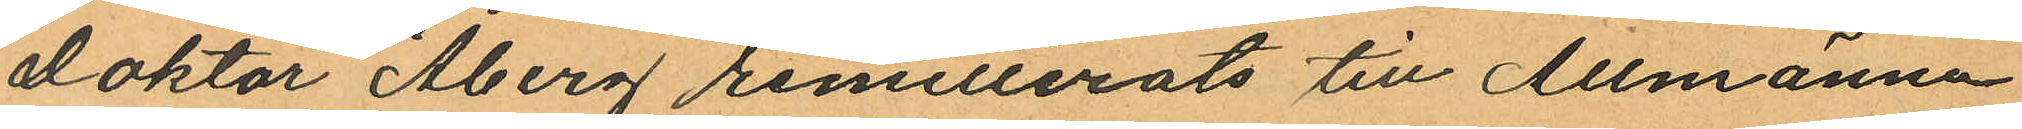doktor Åberg remitterats till Allmänna
